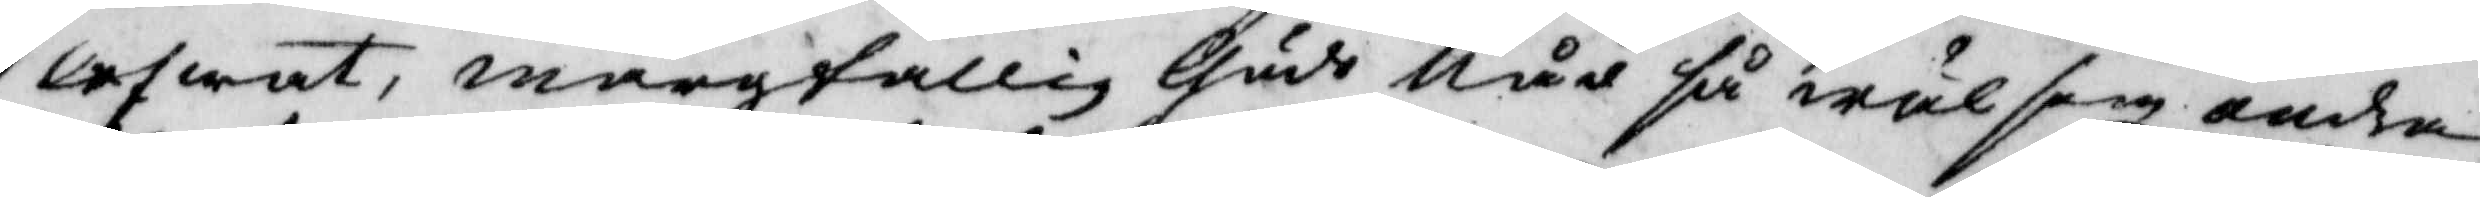lefwat, margtallig Guds Nåd så wäl som andra
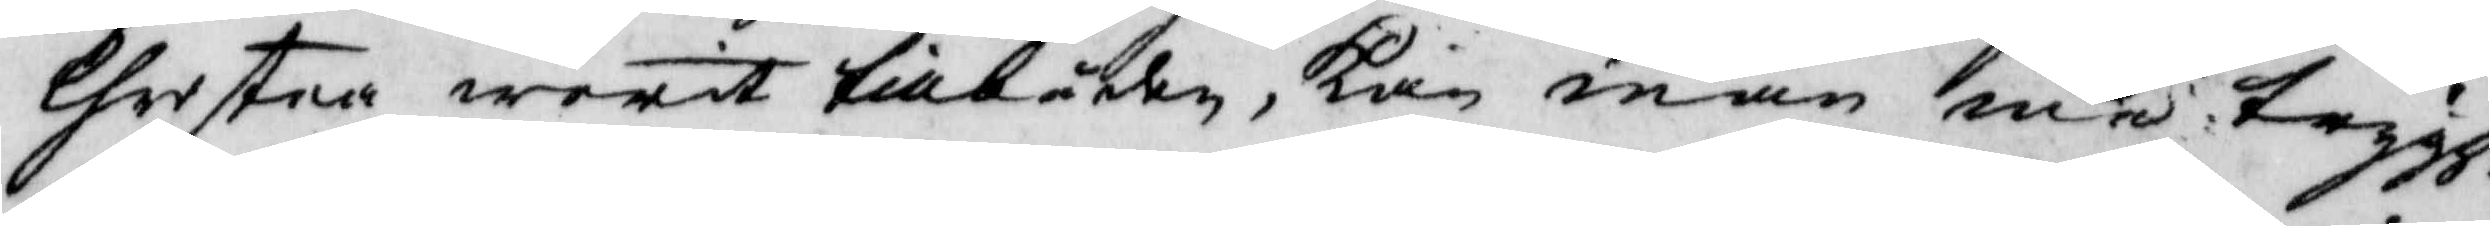Christna warit tillbåkn, kan man med trygg¬
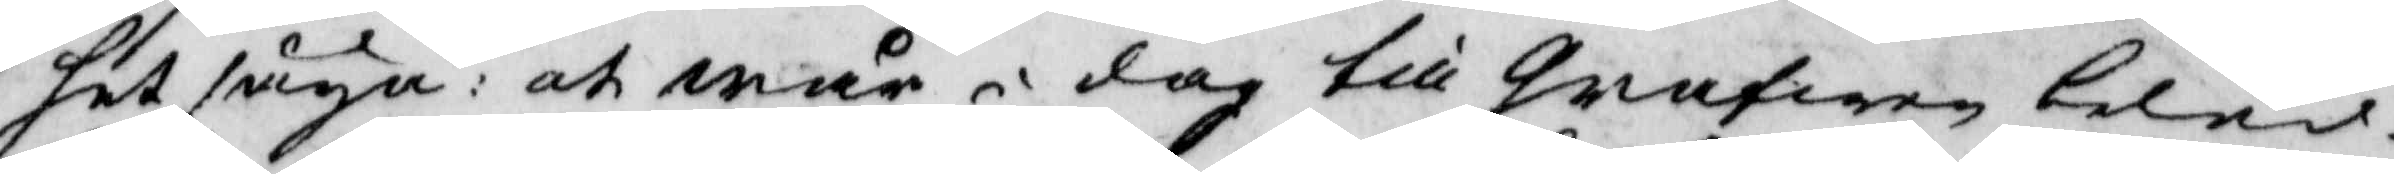het säya: at wår i dag till grafwen beled¬
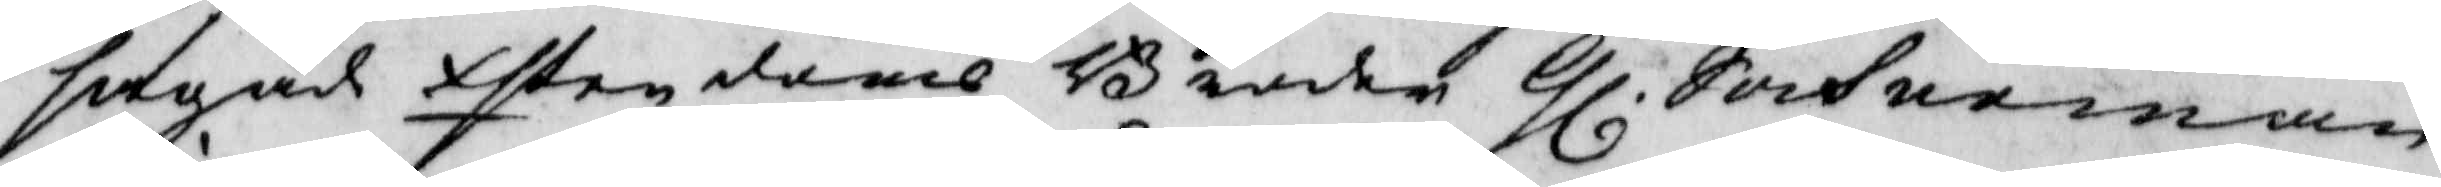sagade then doms Bonden Gl. Sockneman
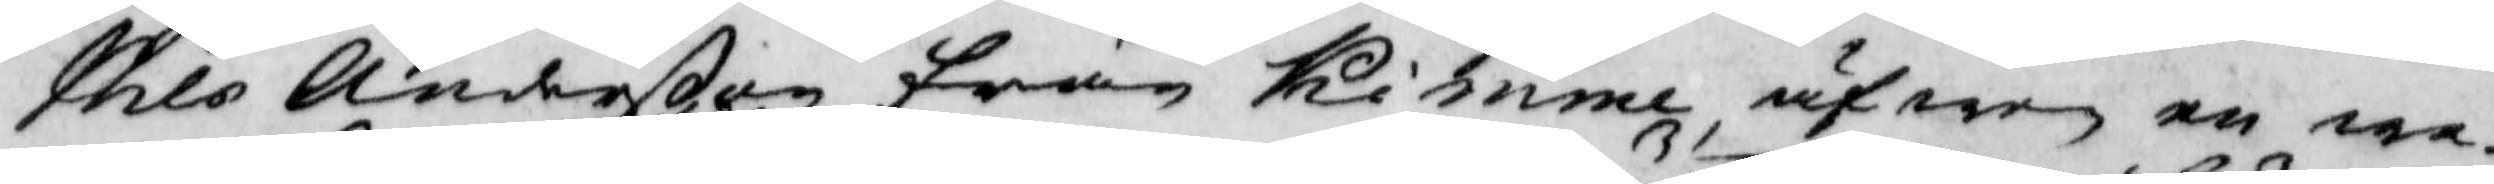Nils Anderßon från Kimme, äfwen en wa¬
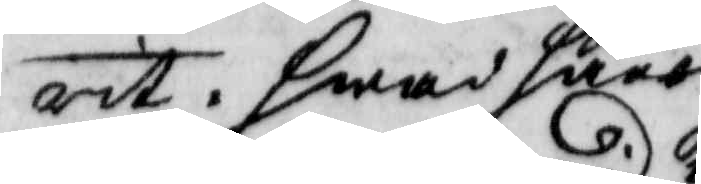rit. hwad hans
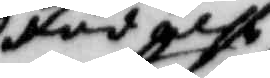födelse
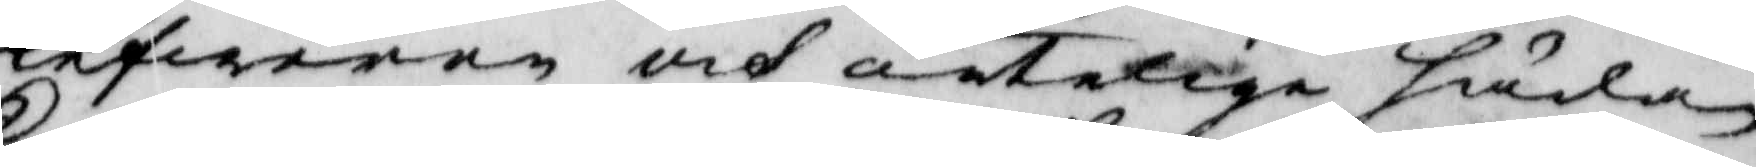lefwerne och äntelige hädan¬
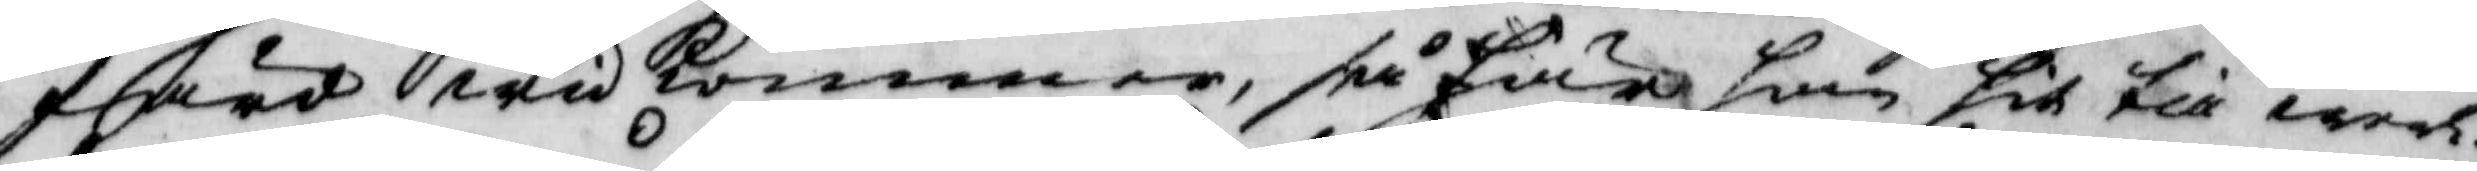färd widkommer, så är han hit till werl¬ 
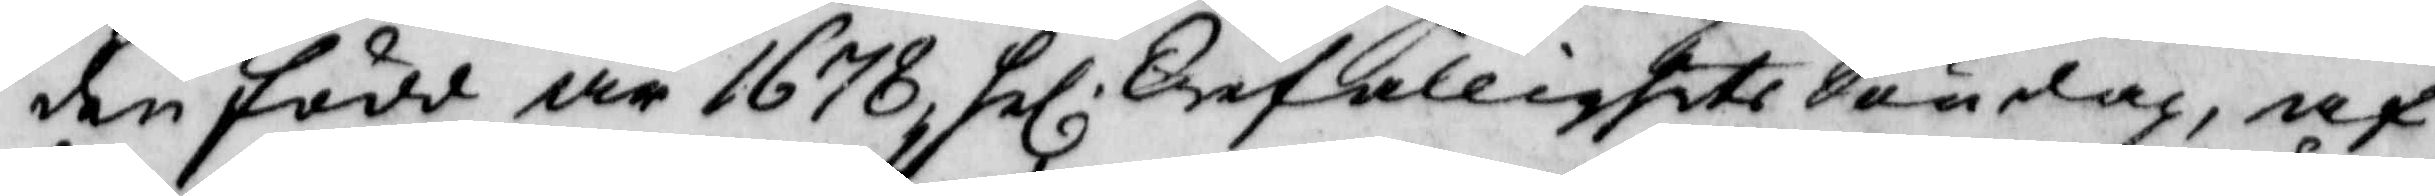den född år 1678 hel. Trefallighets Söndag, af
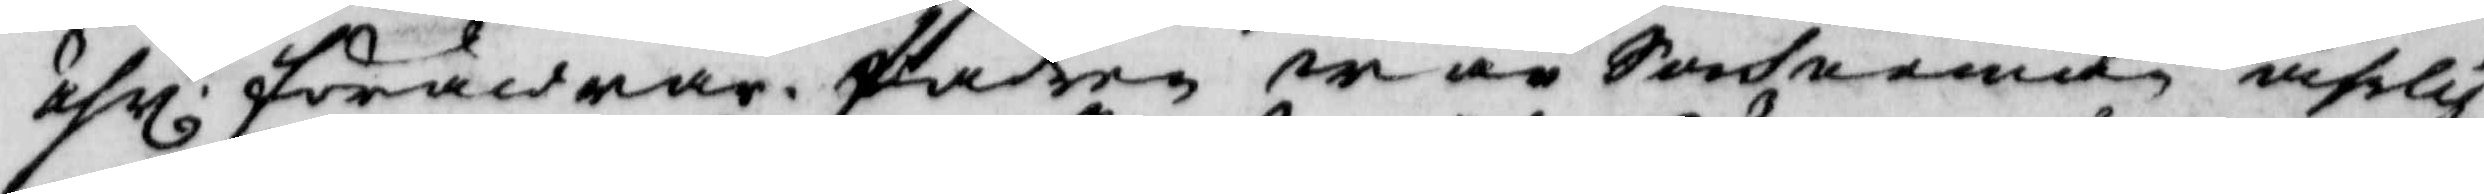ährl. föräldrarne fadren war Sochneman ährlig
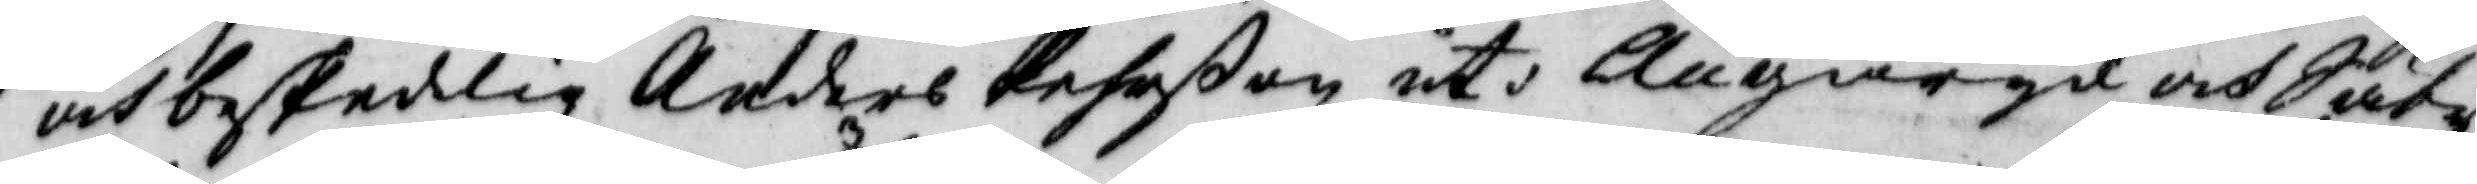och beskedlig Anders Pehrßon uti Ängaryd och Säby
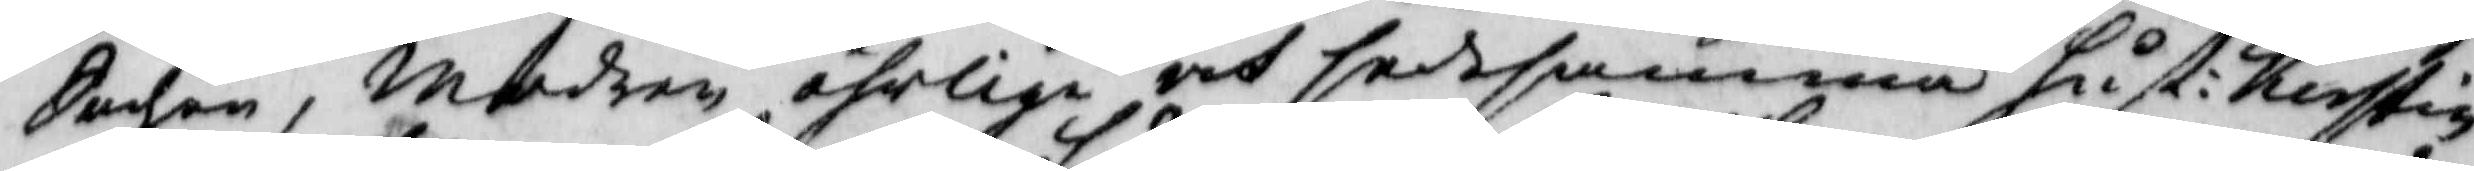Sochn, modren ährlie pch sedesamma hust: Kerstin.
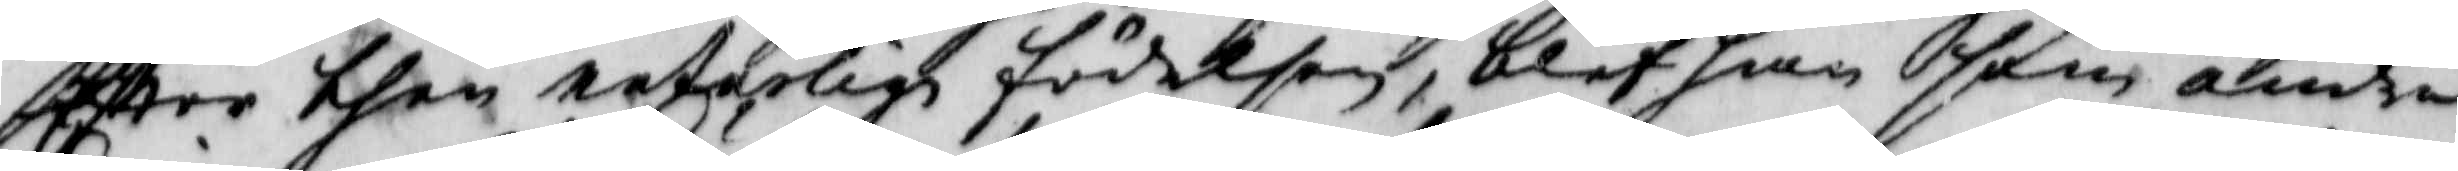Efter then naturlige födelsen, blef han som andra
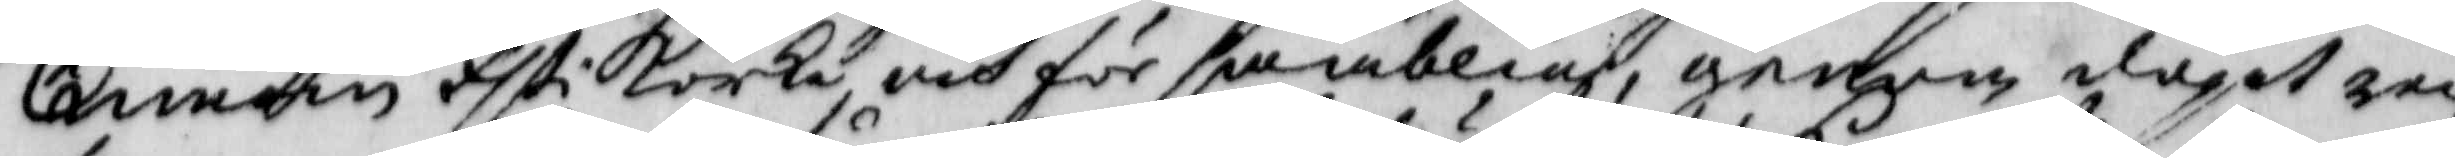innom tsti körka och försambling, genom dopet ren¬
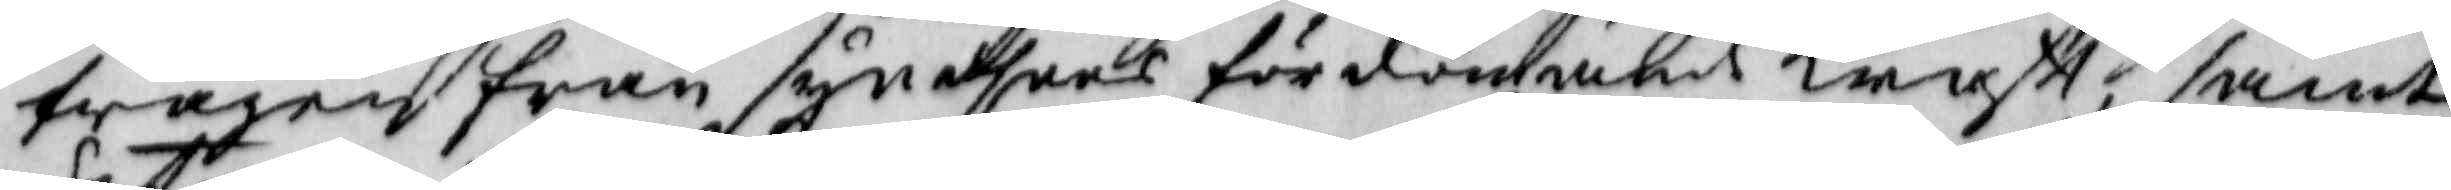twagen från syndhers fördömande lanst, samt
